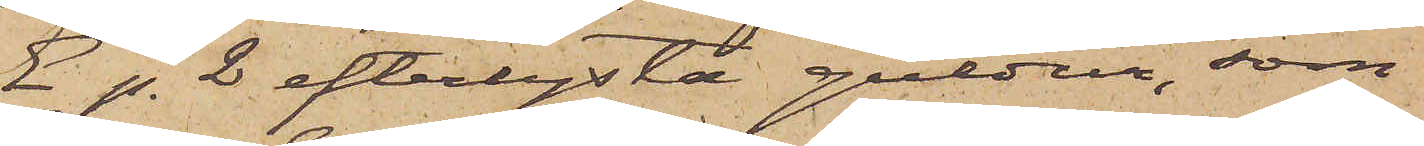E p. 2 efterlysta guldur, som
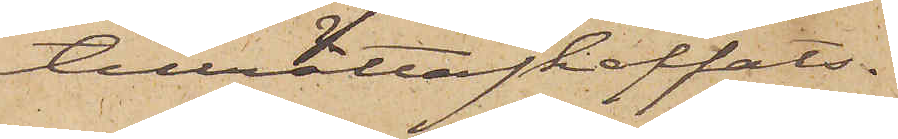tillrättaskaffats.
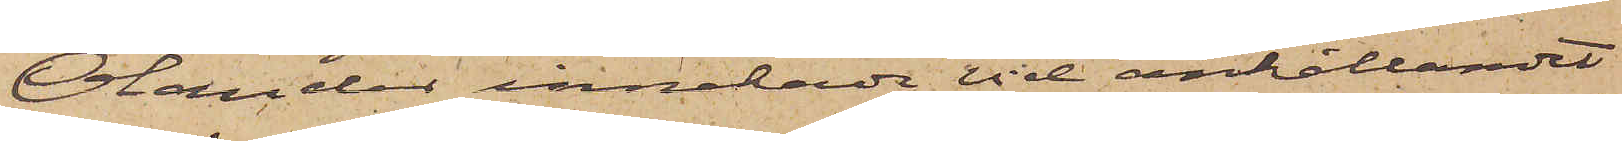Olander innehade vid anhållandet
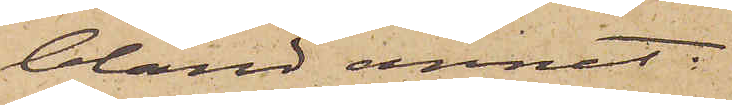bland annat;
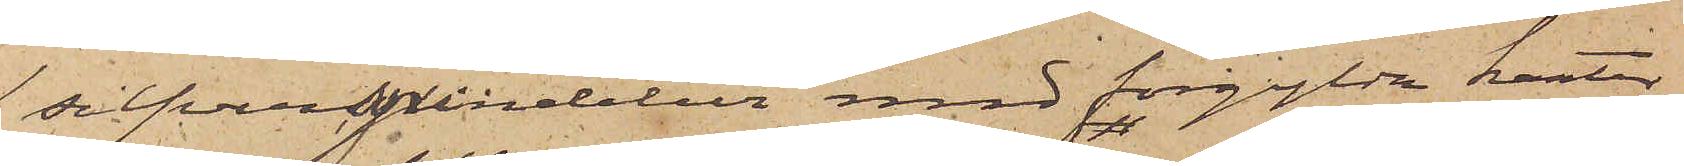1 silfverspindelur med förgylda kanter,
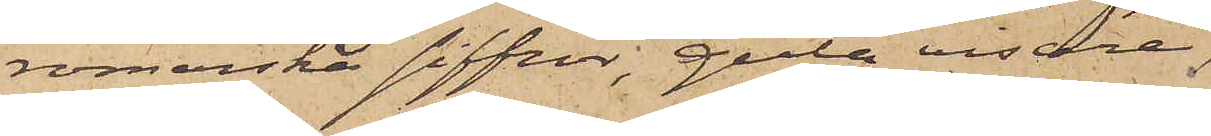romerska siffror, gula visare;
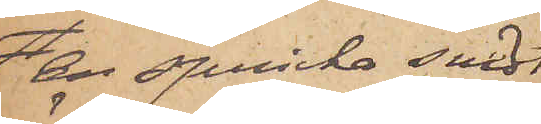en spricka snedt
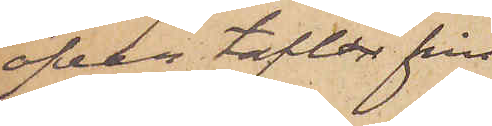öfver taflan från
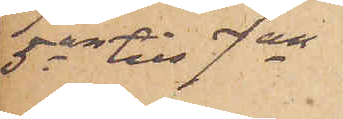5an till 7an
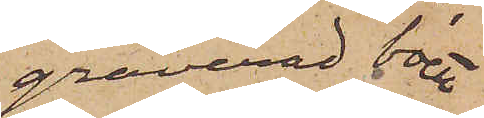graverad boett
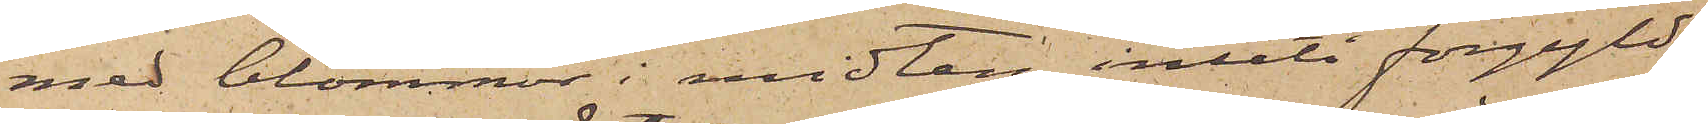med blommor i midten, inuti förgyld
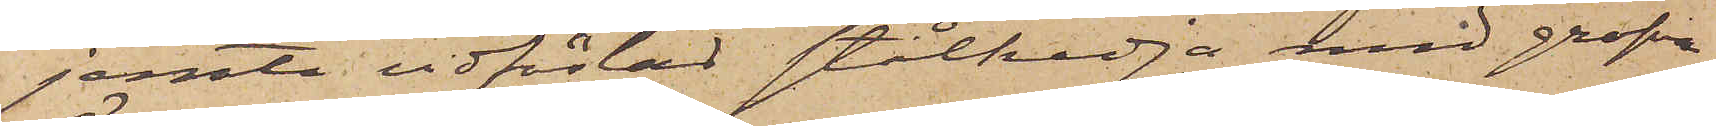jemte vidfästad stålkedja med grofva
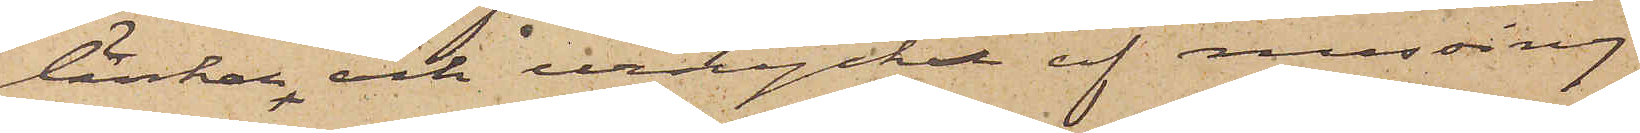länkar och urnyckel af messing
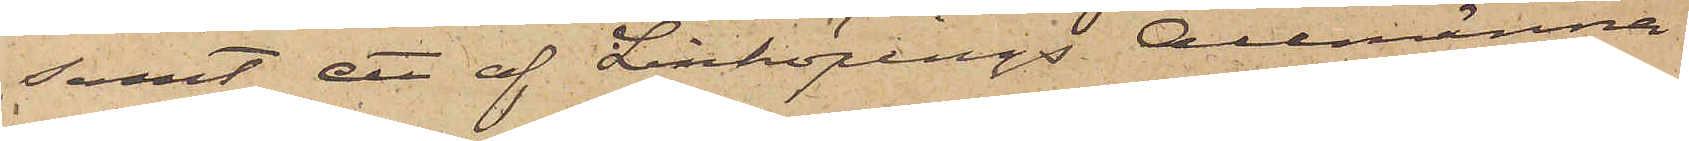samt ett af Linköpings Allmänna
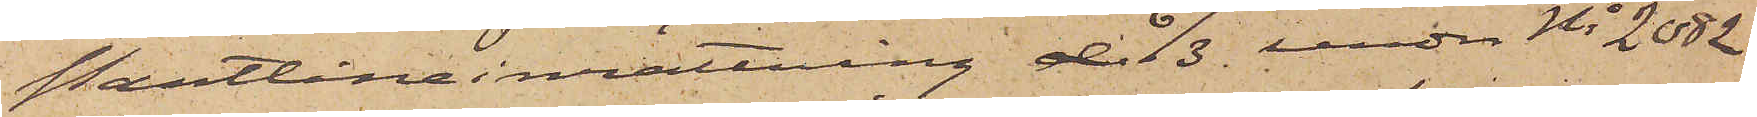Pantlåneinrättning d 6/3. under No 2082
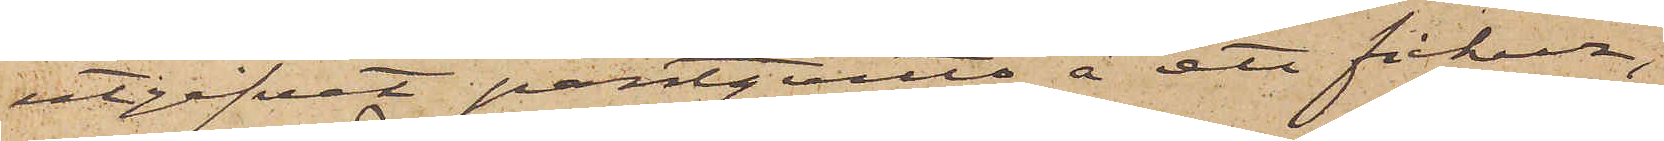utgifvet pantqvitto å ett fickur;
